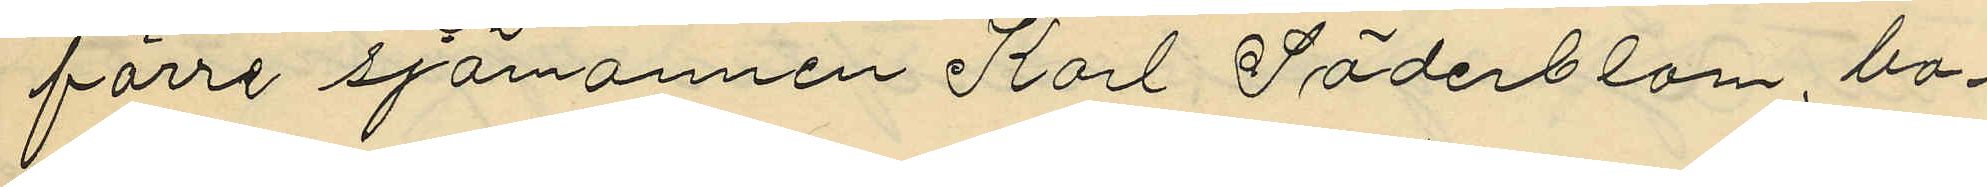förre sjömannen Karl Söderblom, bo¬
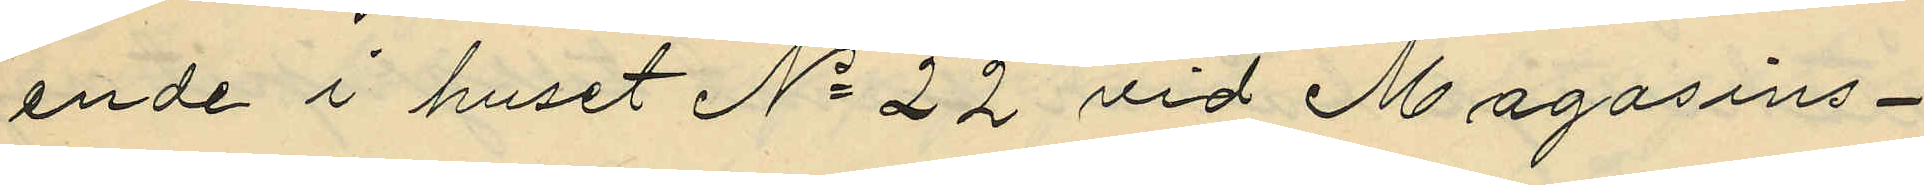ende i huset No 22 vid Magasins¬
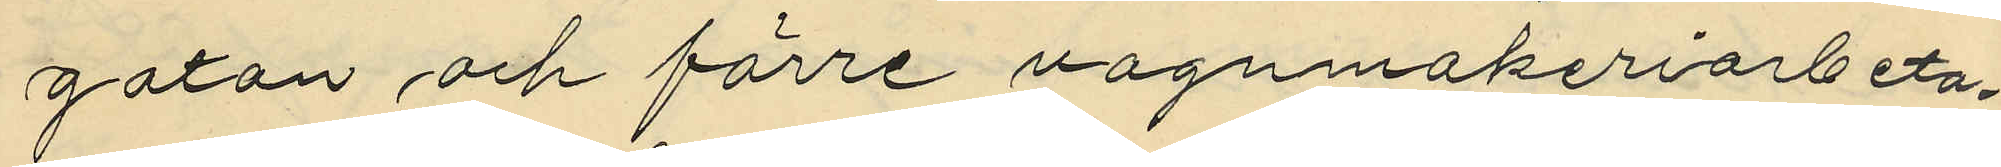gatan och förre vagnmakeriarbeta¬
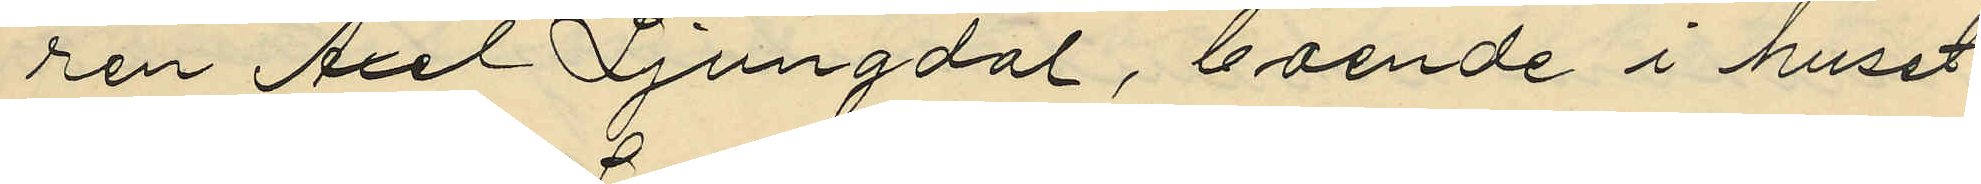ren Axel Ljungdal, boende i huset
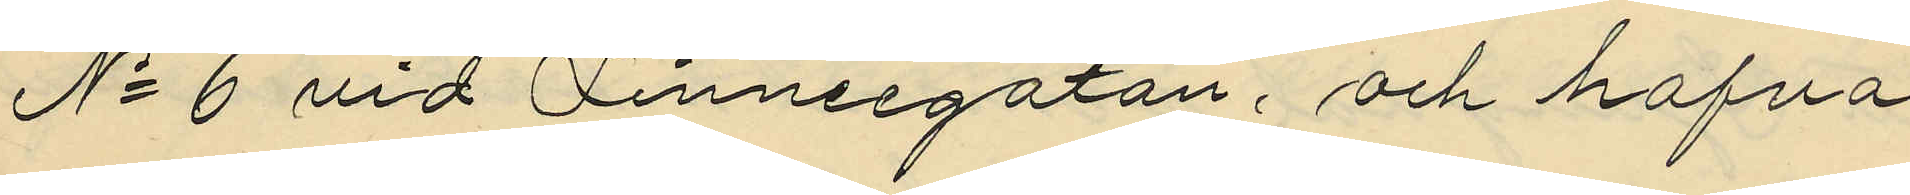No 6 vid Linneegatan, och hafva
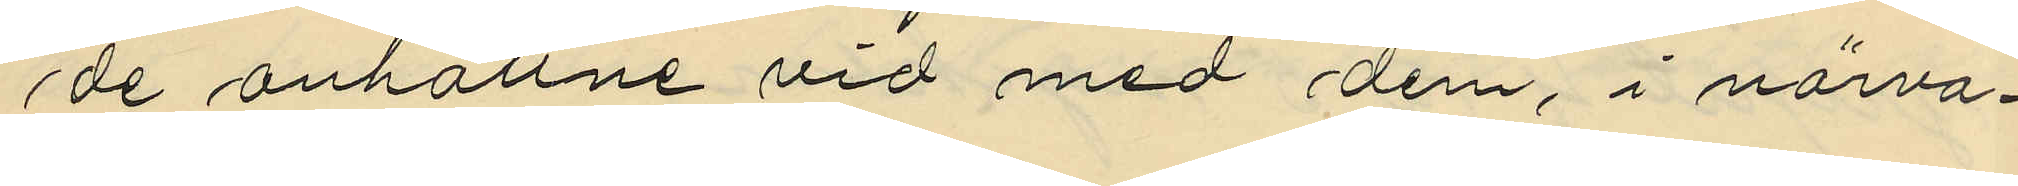de anhållne vid med dem, i närva¬
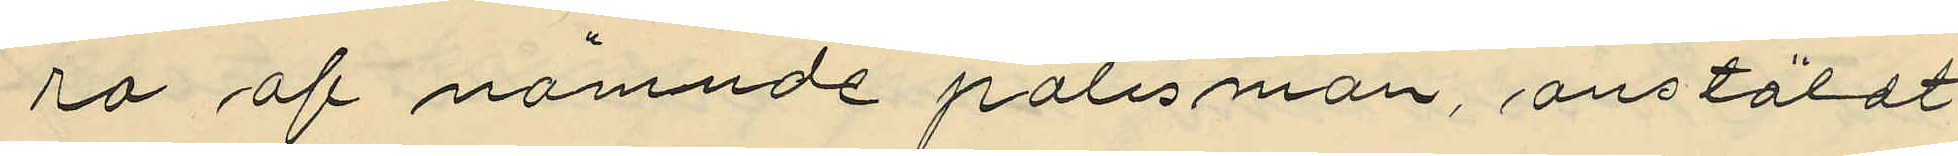ro af nämnde polismän, anstäldt
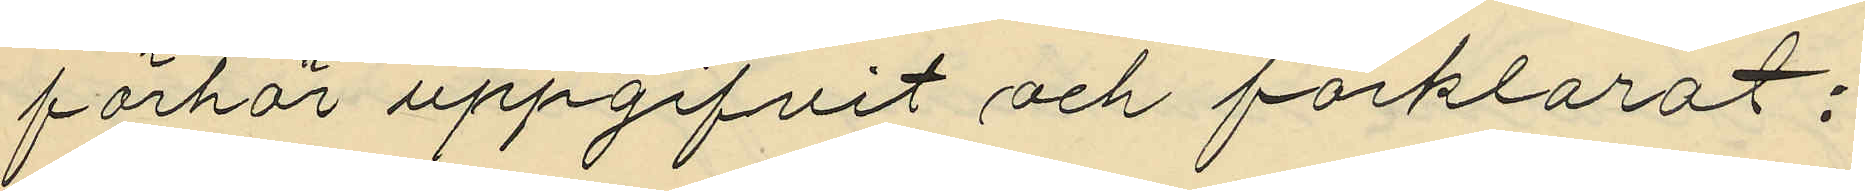förhör uppgifvit och förklarat;
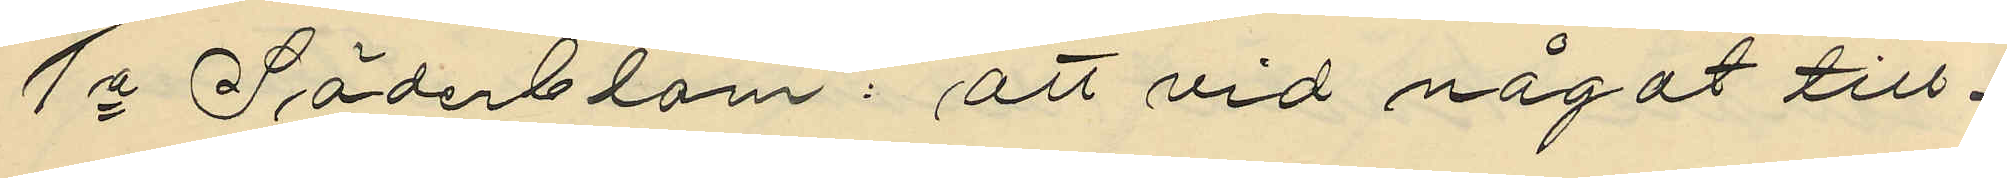1o Söderblom: att vid något till¬
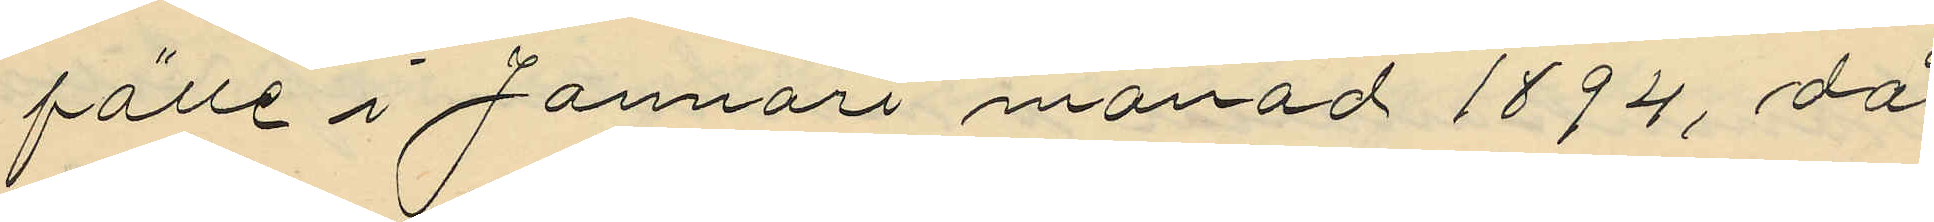fälle i Januari månad 1894, då
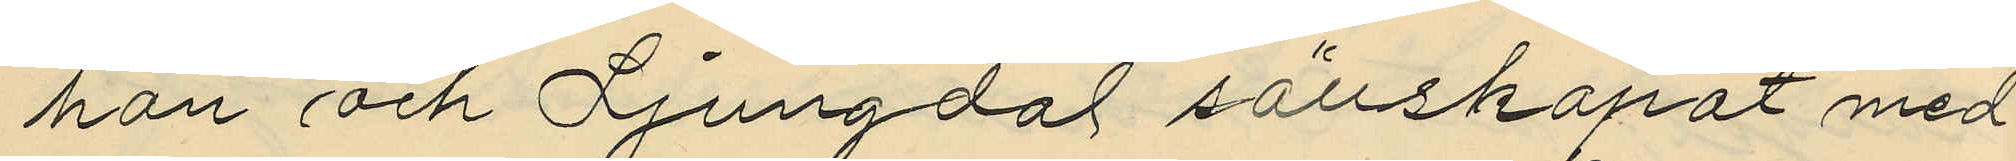han och Fjungdal sällskapat med
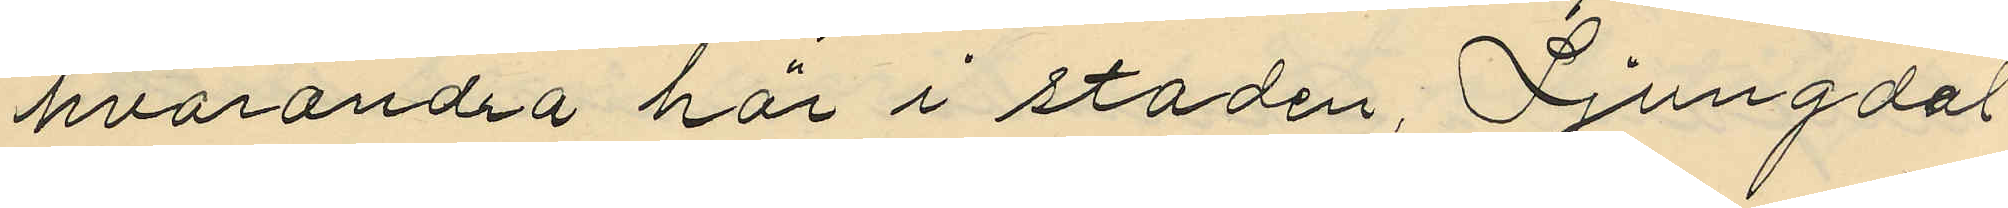hvarandra här i staden, Ljungdal
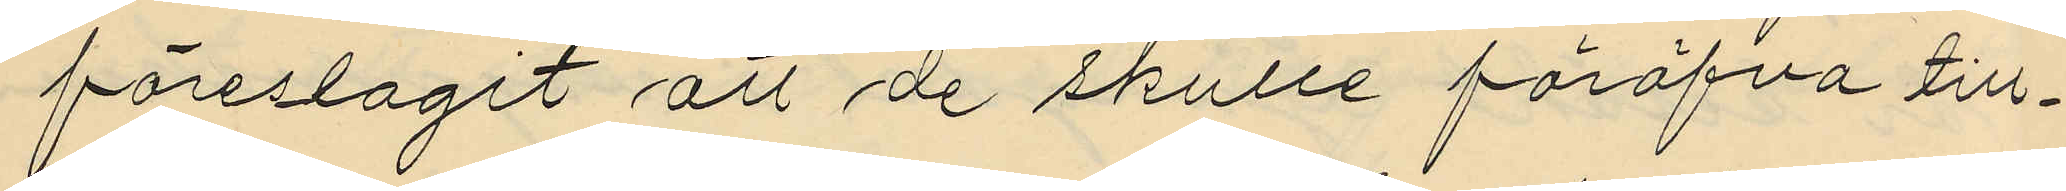föreslagit att de skulle föröfva till¬
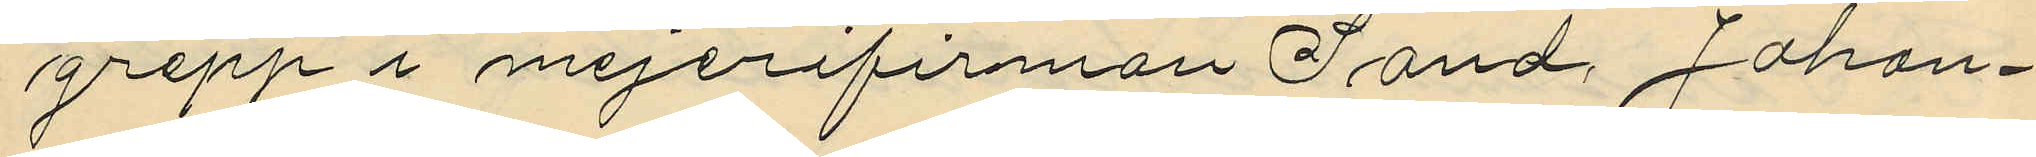grepp i mejerifirman Sand, Johan¬
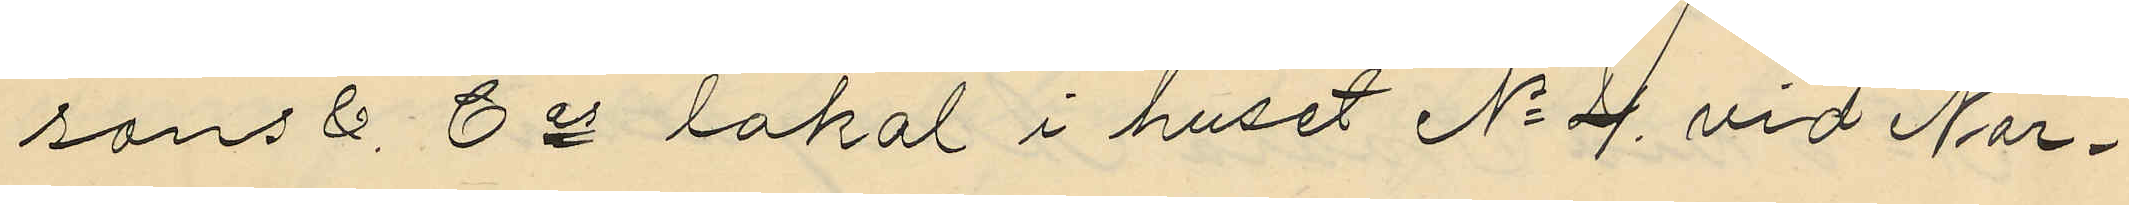sons & Cos lokal i huset No 4 vid Nor¬
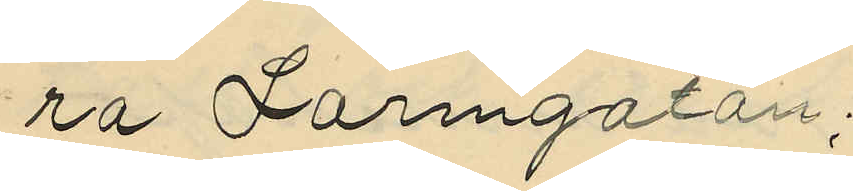ra Larmgatan;
